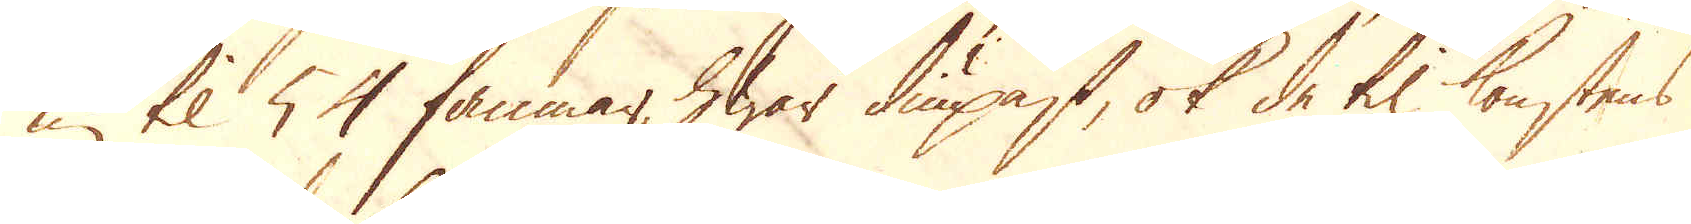nu til 54 famnar, hwar diupast, ok de til konstens
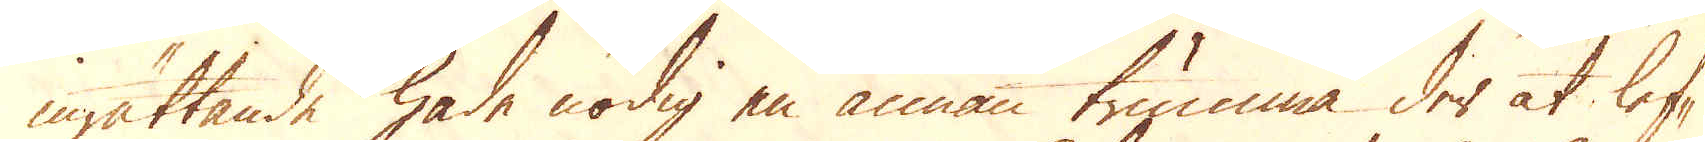inrättande hade nödig en annan trumma der at lef-
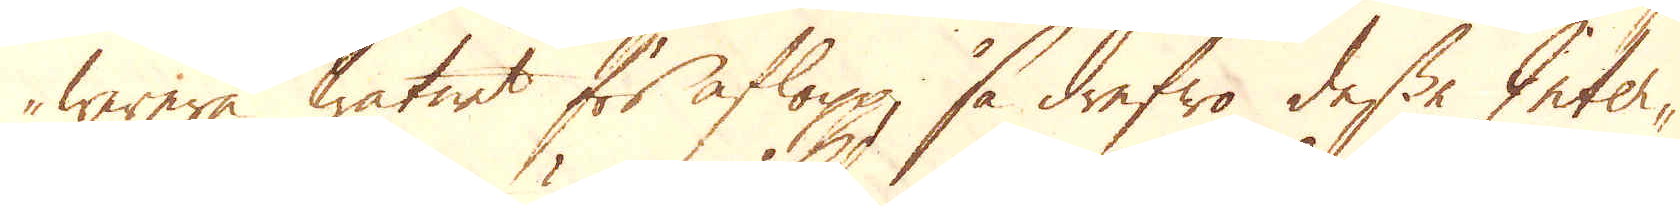werera watnet för aflopp, så drefwo dessa Inter-
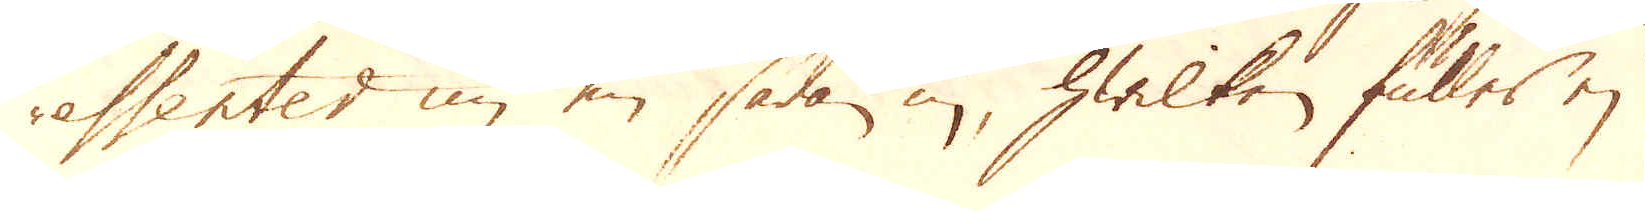essenter nu en sådan in, hwilken fuller ej
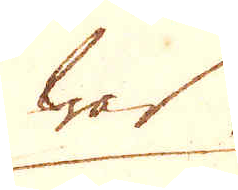war
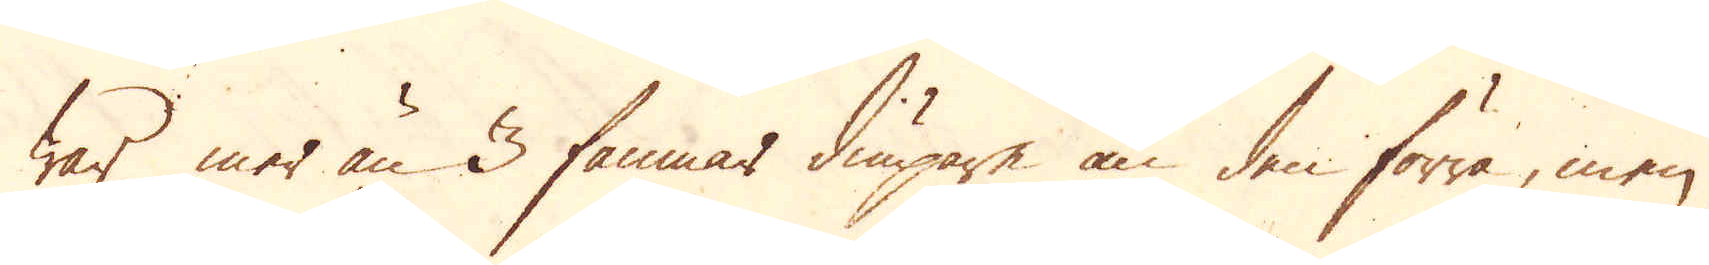war mer än 3 famnar diupare än den förra, men
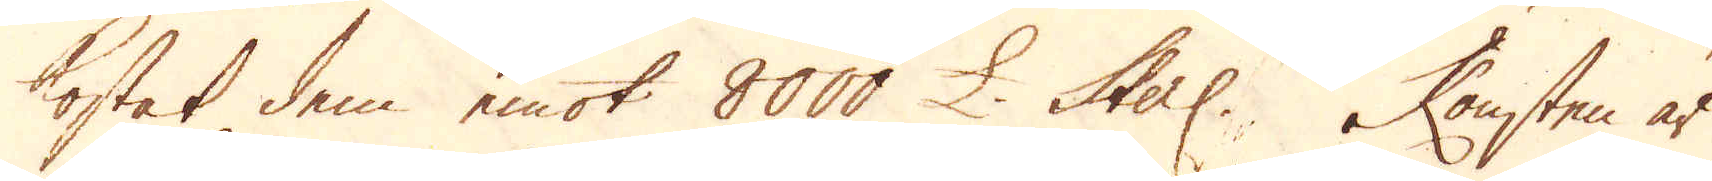kostat dem emot 8000 £ Sterl. Konsten är
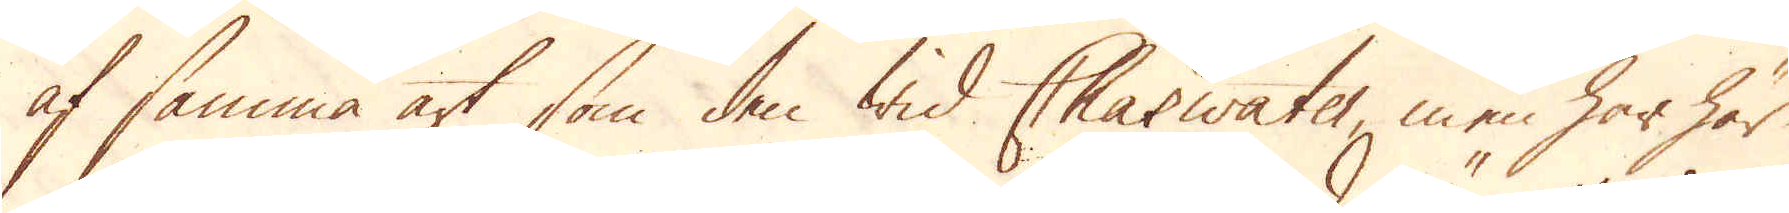af samma art som den wid Charwater, men har här
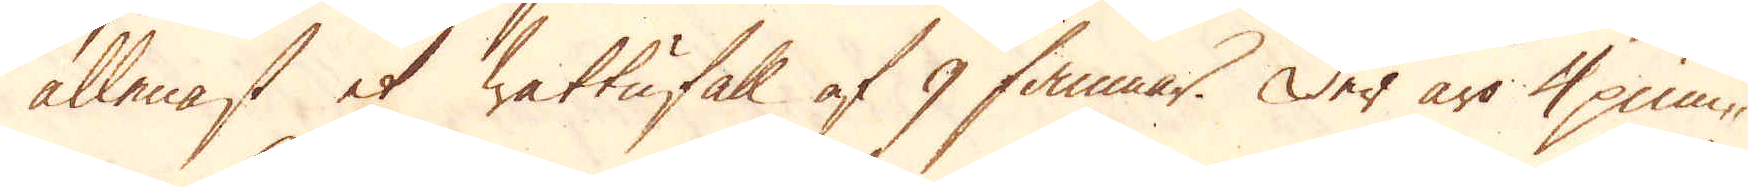allenast et wattufall af 9 famnar. Der äro 4 pum-
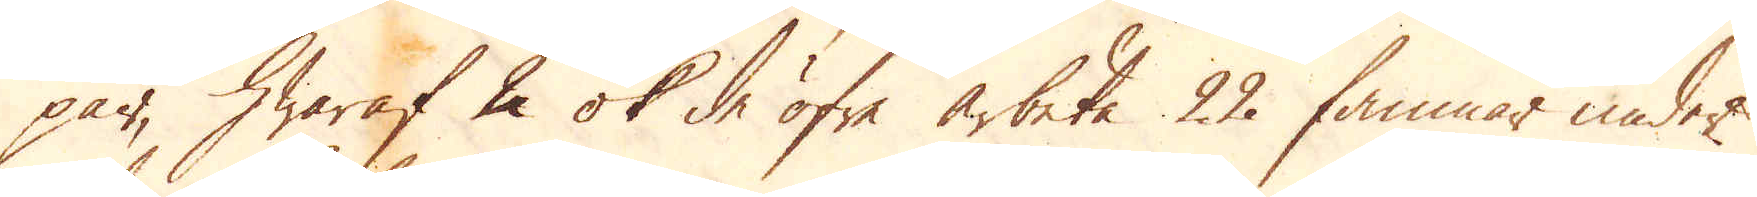par, hwaraf 2 ok de öfre arbeta 22 famnar under
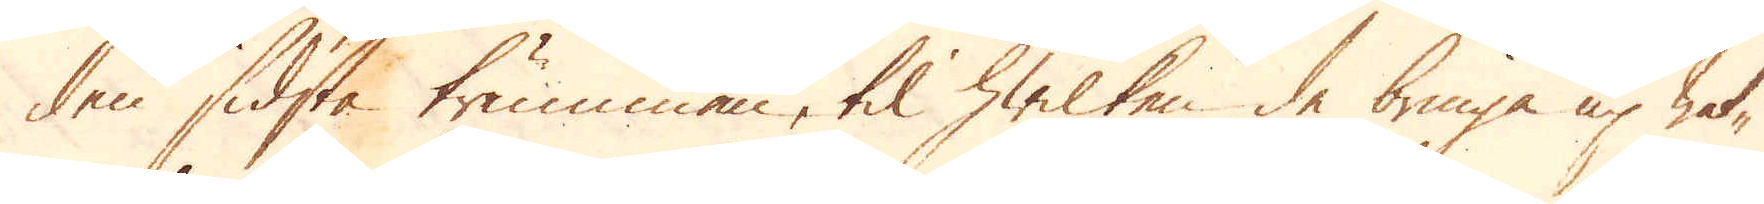den sidsta trumman, til hwilken de bringa up wat-
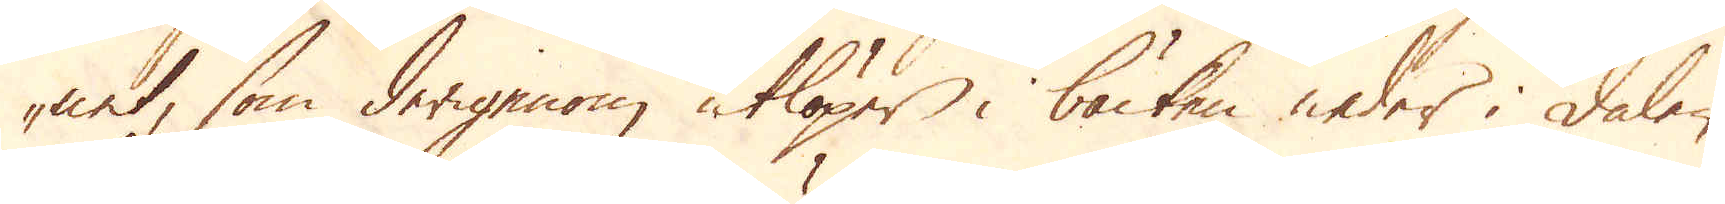net, som derigenom utlöper i bäcken neder i dalen.
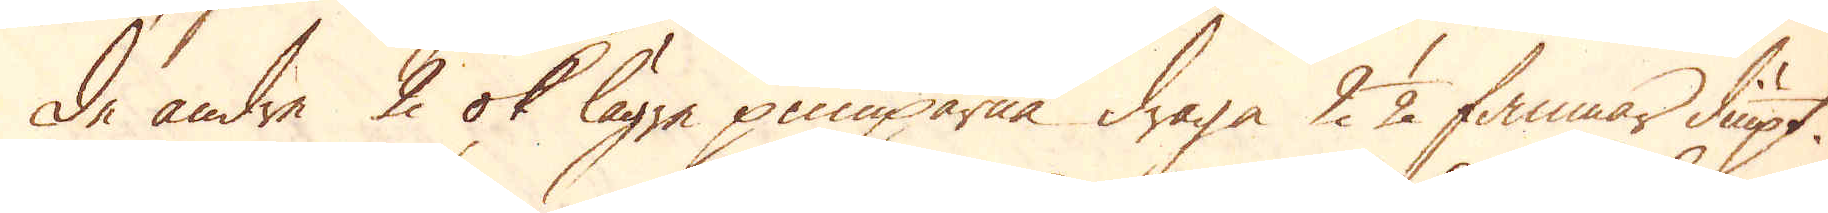De andre 2 ok lägre pumparna draga 2 1/2 famnar diupt.
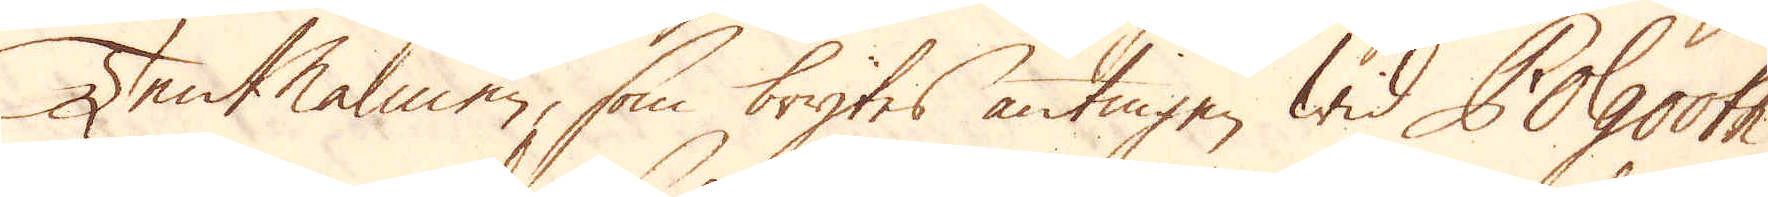TenMalmen, som brytes antingen wid Polgooth
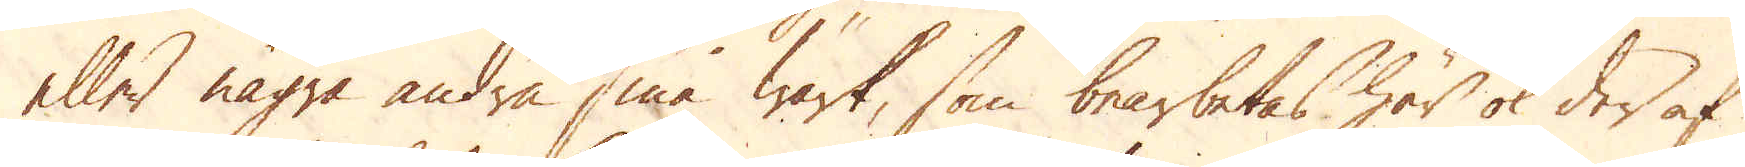eller några andra små wärk, som bearbetas här ok der af
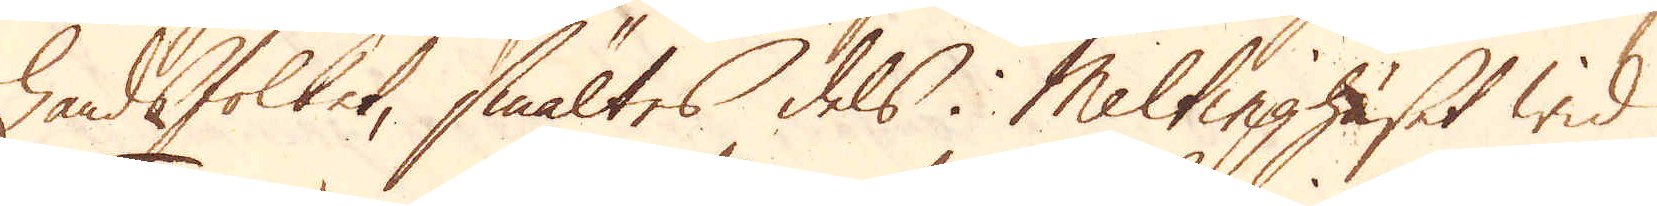handsfolket, smältes dels i Meltinghuset wid
